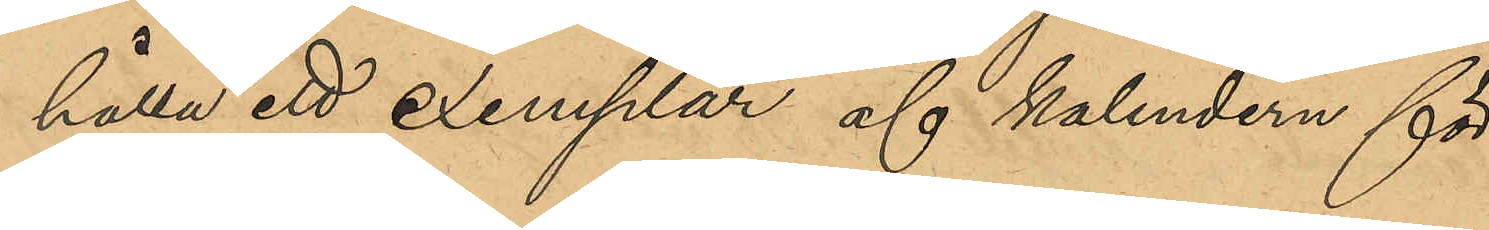hålla ett exemplar af kalendern för
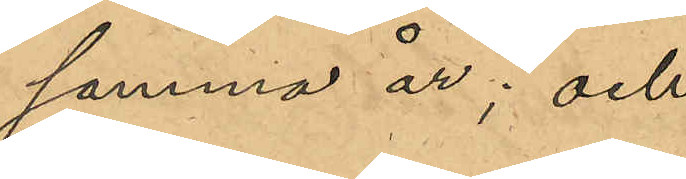samma år; och
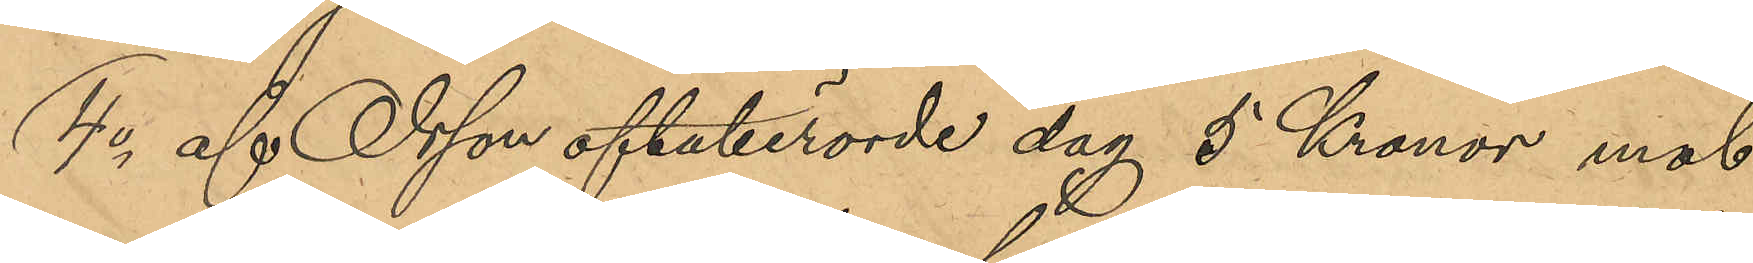4o af Olsson oftaberörde dag 5 Kronor mot
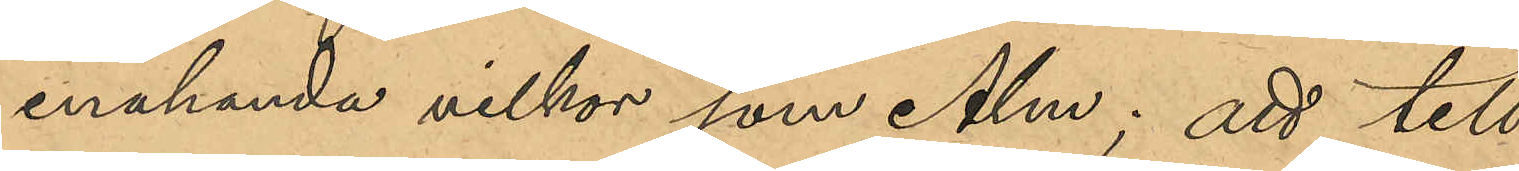enahanda villkor som Alm; att till
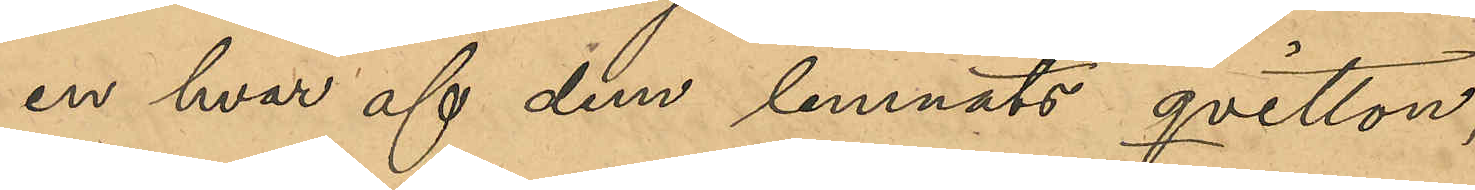en hvar af dem lemnats qvitton,
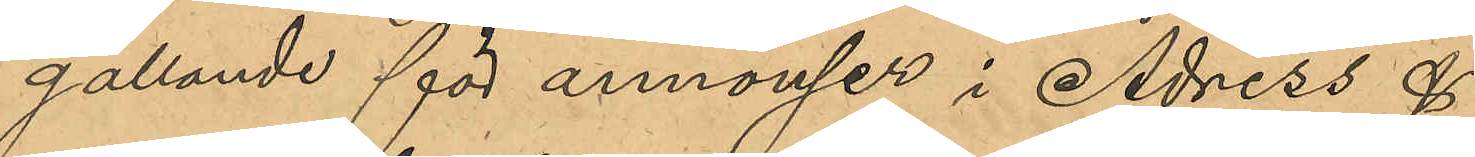gällande för annonser i Adress &
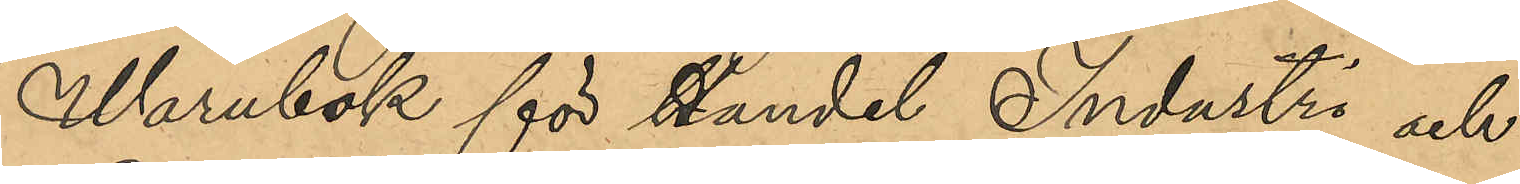Warubok för Handel Industri och
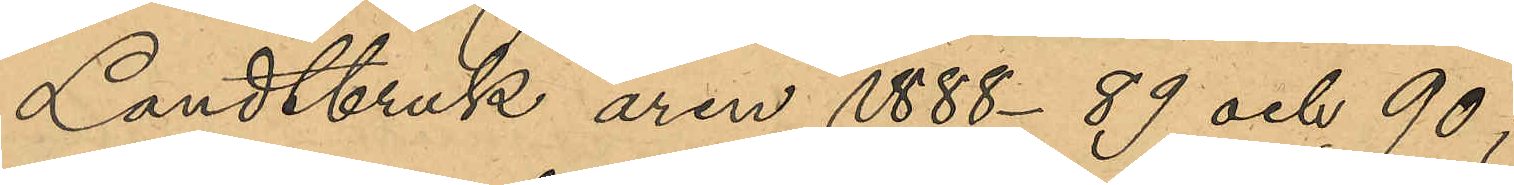Landtbruk åren 1888-89 och 90
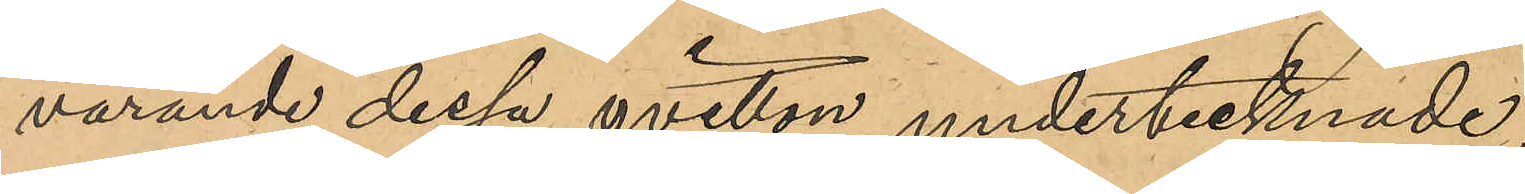varande dessa qvitton undertecknade,
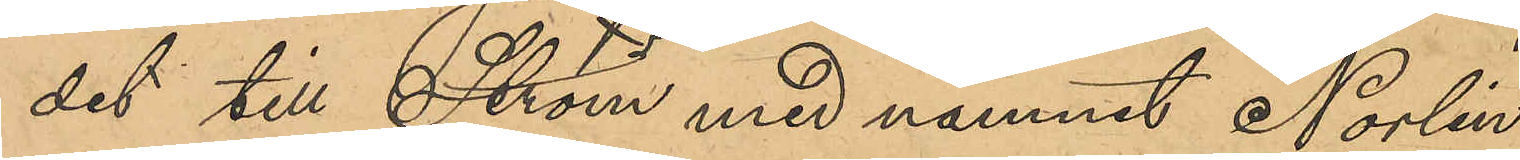det till Ström med namnet Norlin 
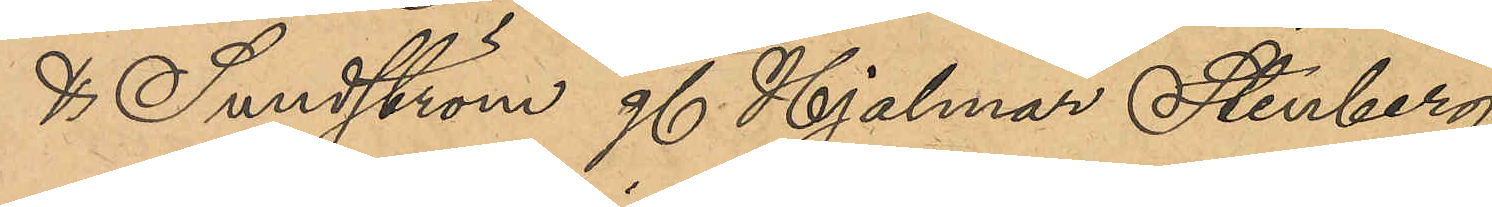& Sundström g. Hjalmar Stenberg,
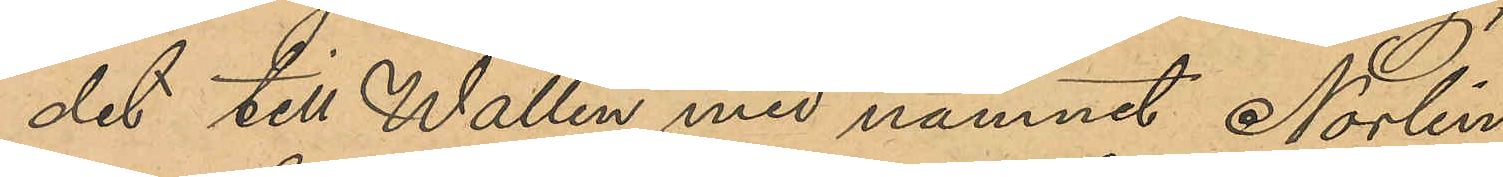det till Wallin med namnet Norlin
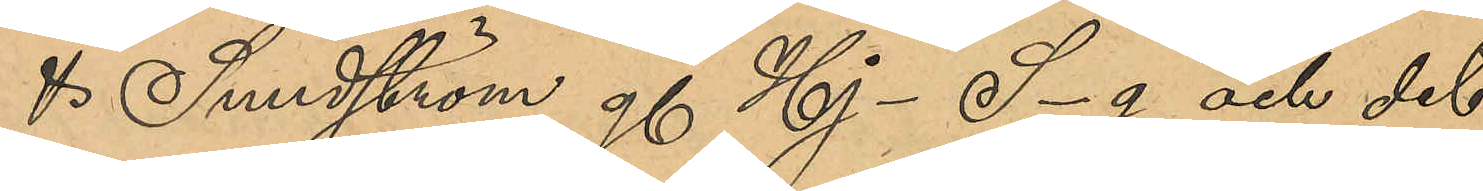& Sundström g. Hj- S-g och det
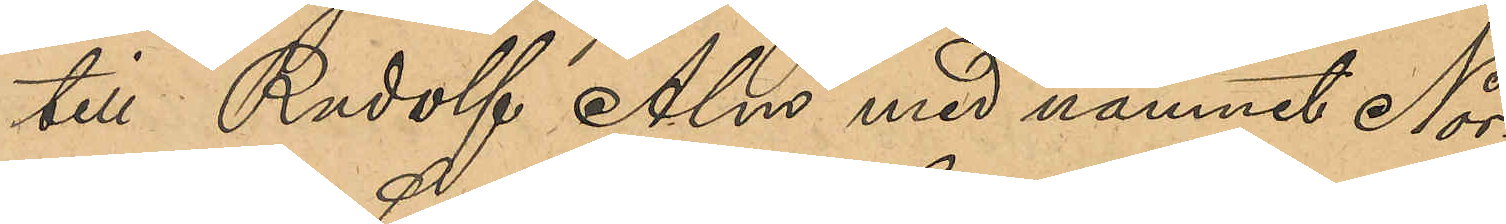till Rudolf Alm med namnet Nor¬
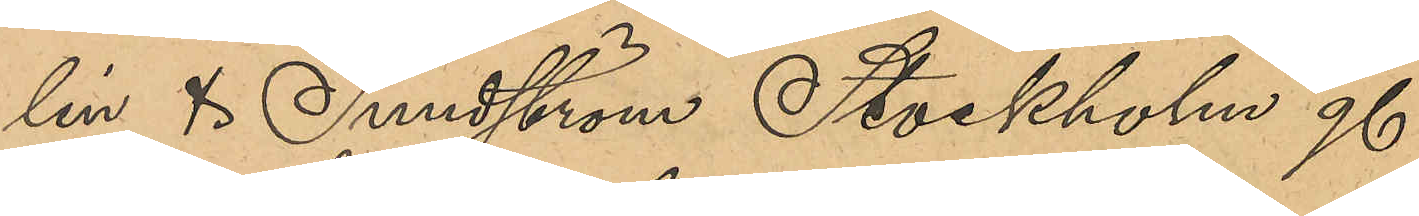lin & Sundström Stockholm g.
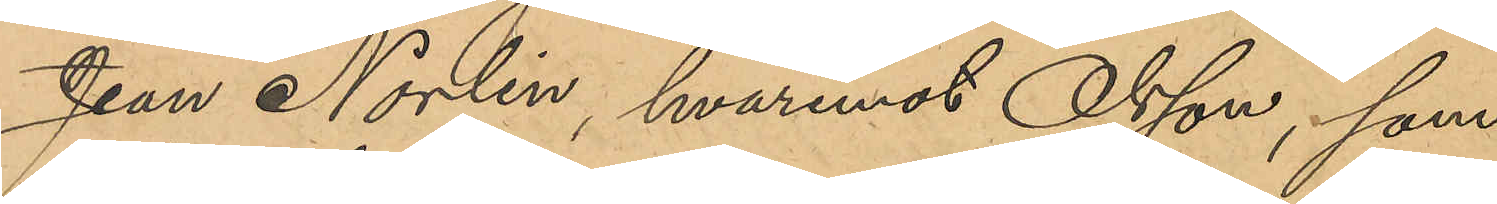Jean Norlin, hvarmed Olsson, som
